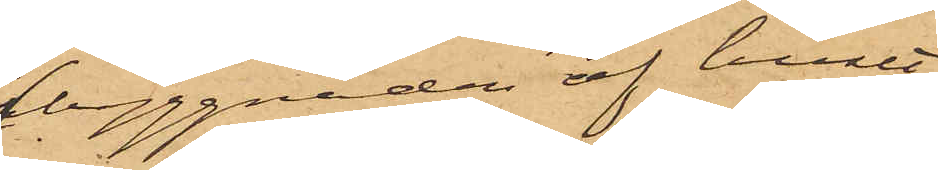byggnaden af huset
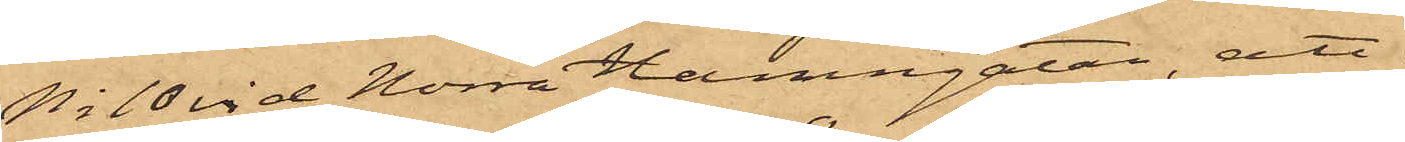No 10 vid Norra Hamngatan; att
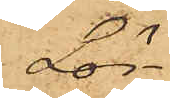Lör¬
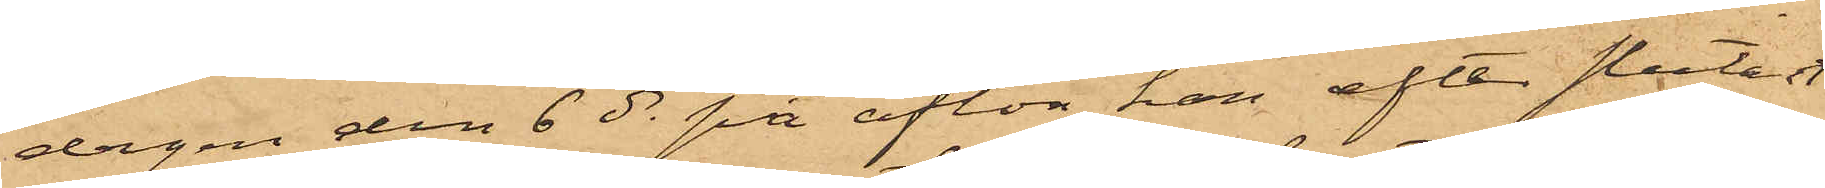dagen den 6 ds på afton han efter slutat
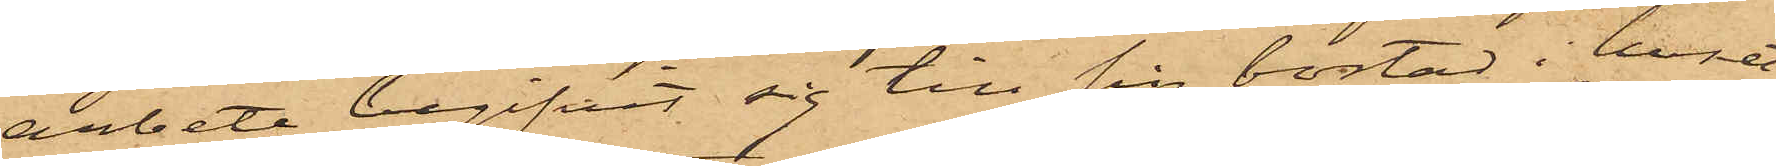arbete begifvit sig till sin bostad i huset
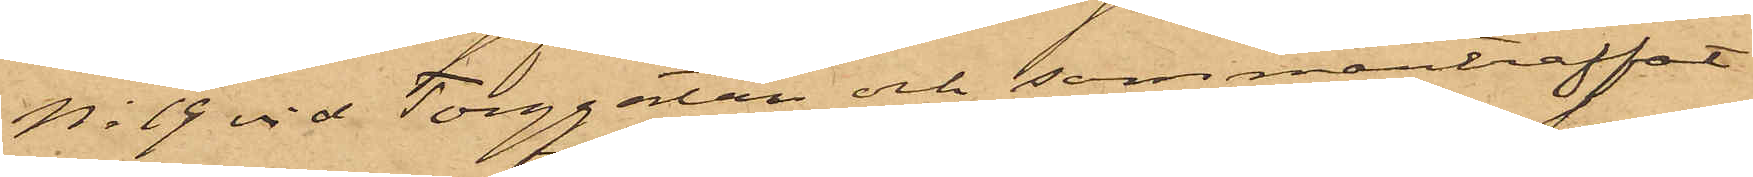No 19 vid Torggatan och sammanträffat
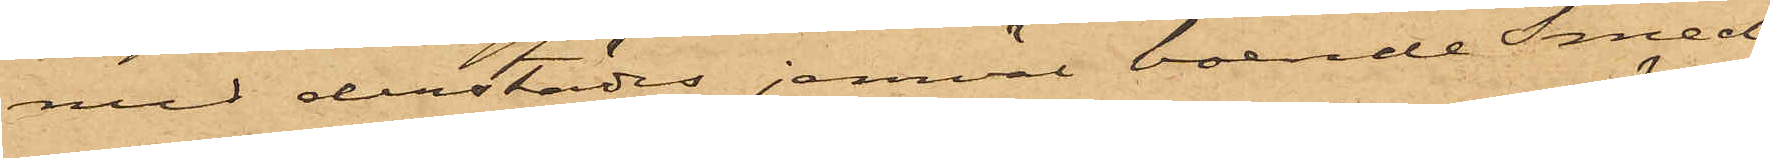med derstädes jemväl boende Smed¬
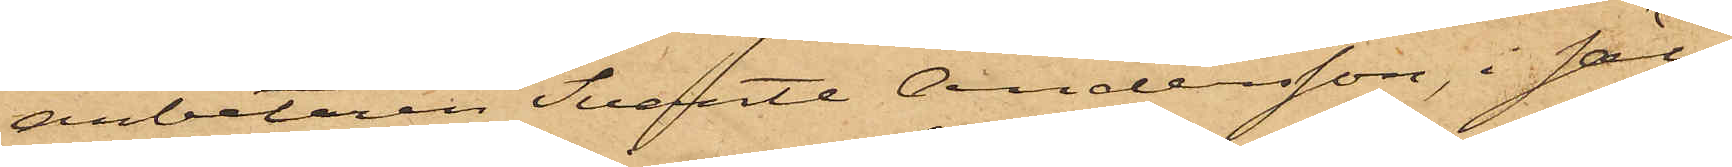arbetaren Svante Andersson, i säll¬
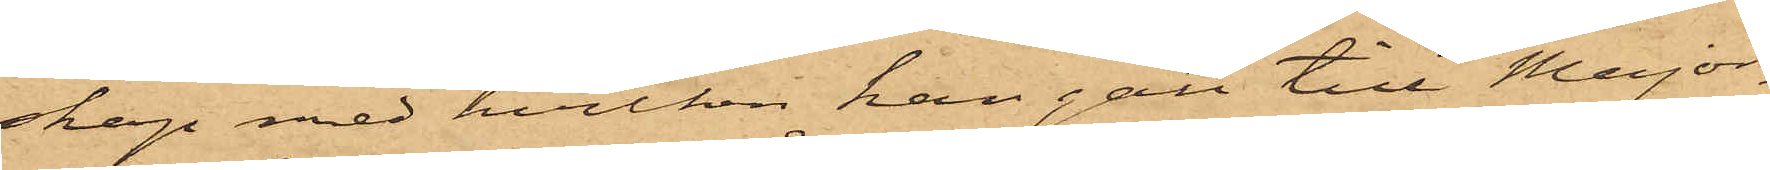skap med hvilken han gått till Major¬
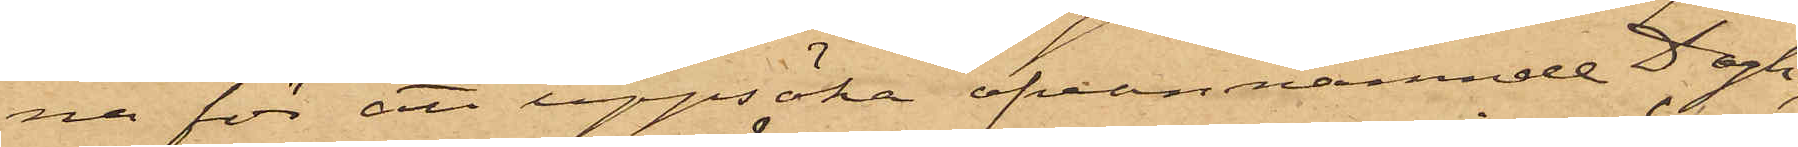na för att uppsöka ofvannämnde Dagh;
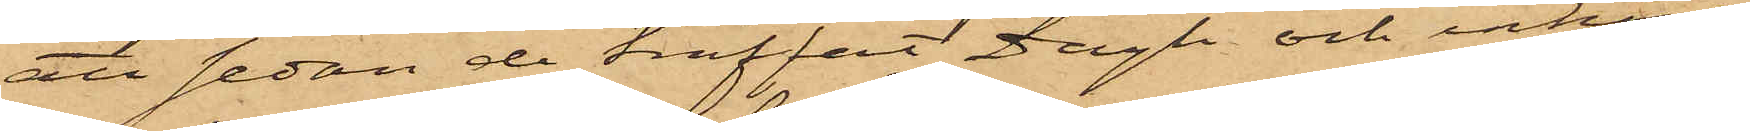att sedan de träffat Dagh och inköpt
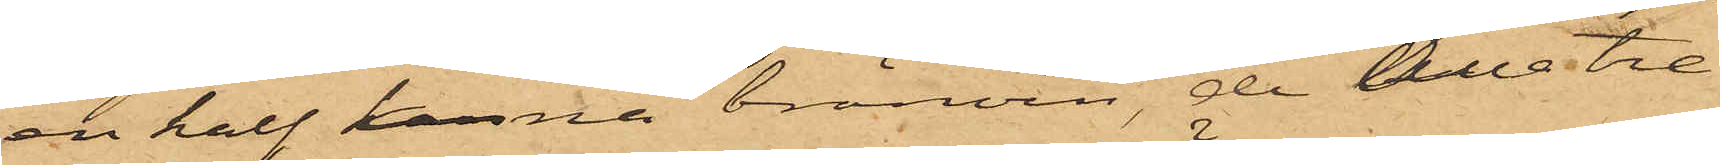en half kanna bränvin, de alla tre
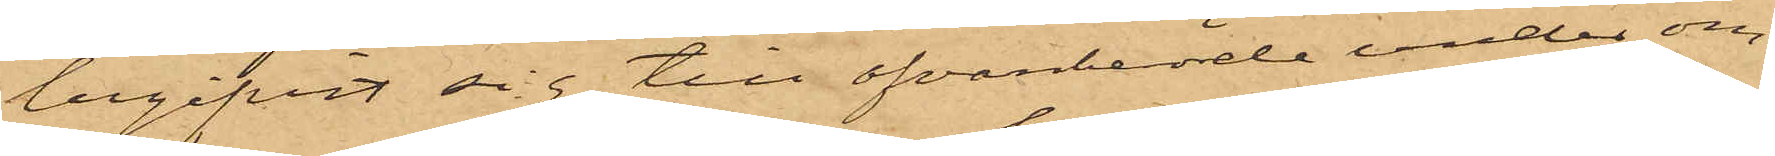begifvit sig till ofvanberörde under om¬
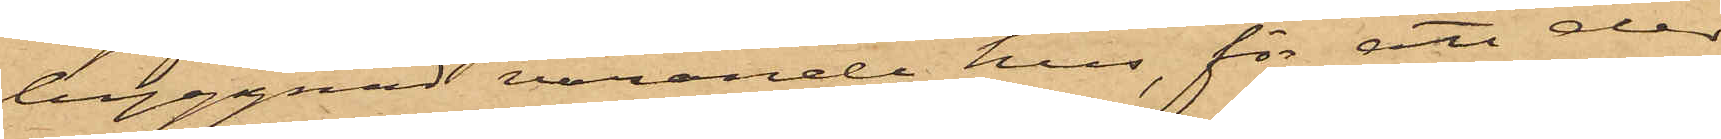byggnad varande hus, för att der
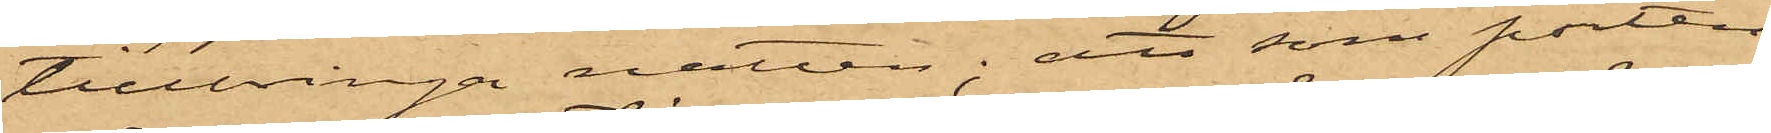tillbringa natten; att som porten
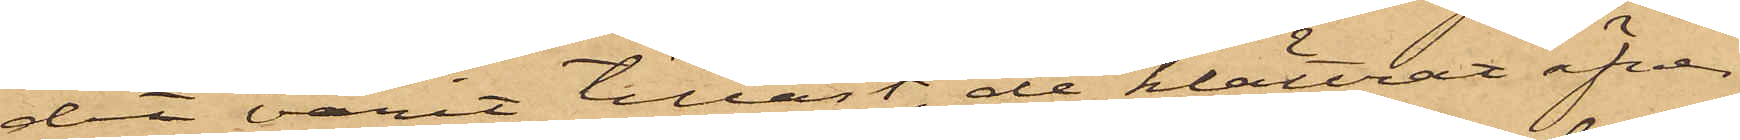där varit tillåst, de klättrat öfver
